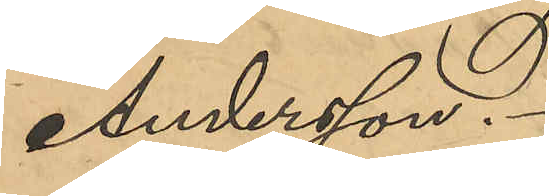Andersson.
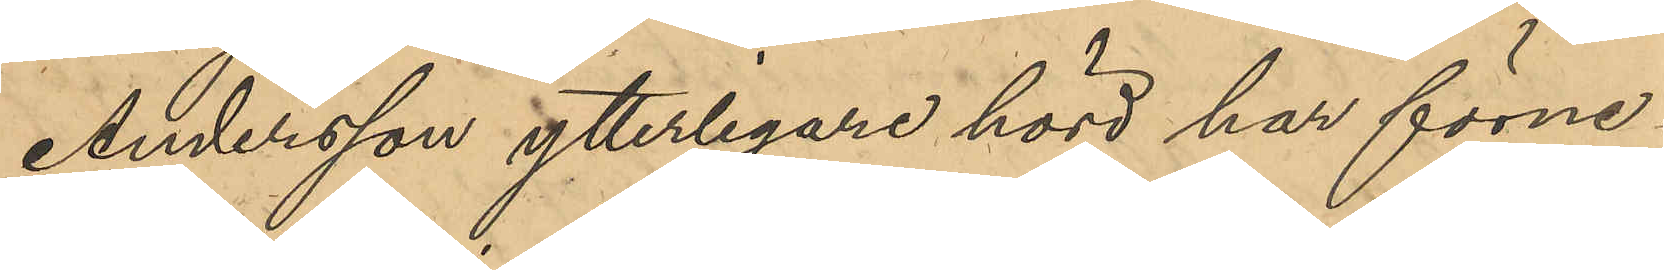Andersson ytterligare hörd har förne¬
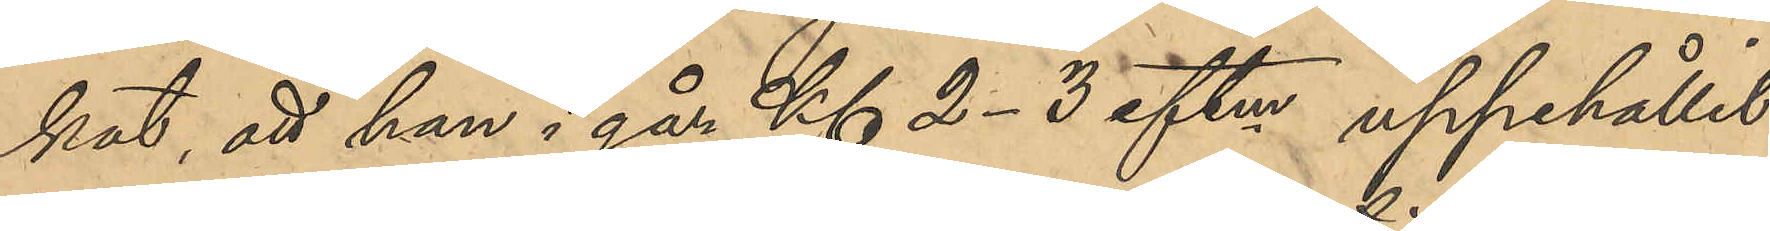kat, att han i går Kl 2-3 eftm uppehållit
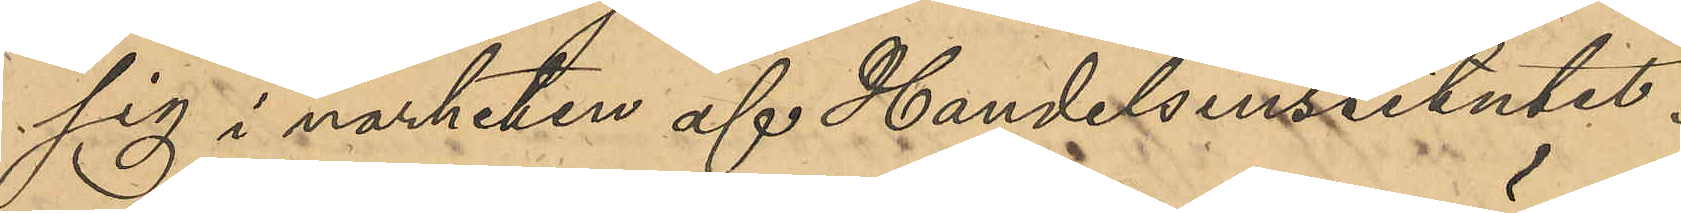sig i närheten af Handelsinstitutet.
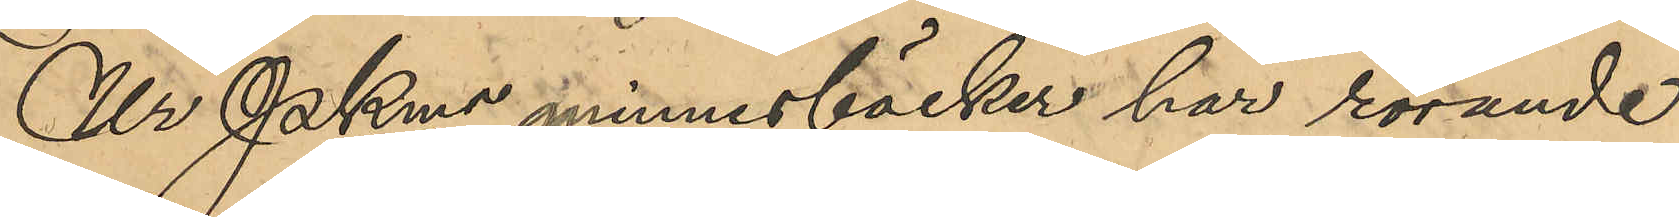Ur PKms minnesböcker har rörande 
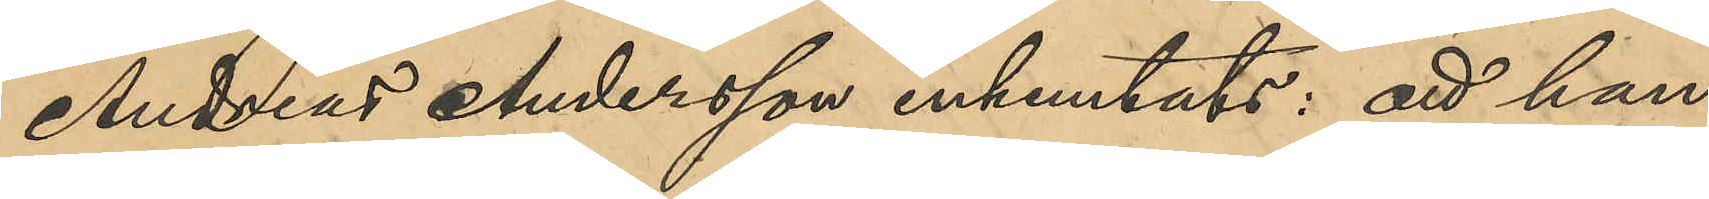Andreas Andersson inhemtats: att han
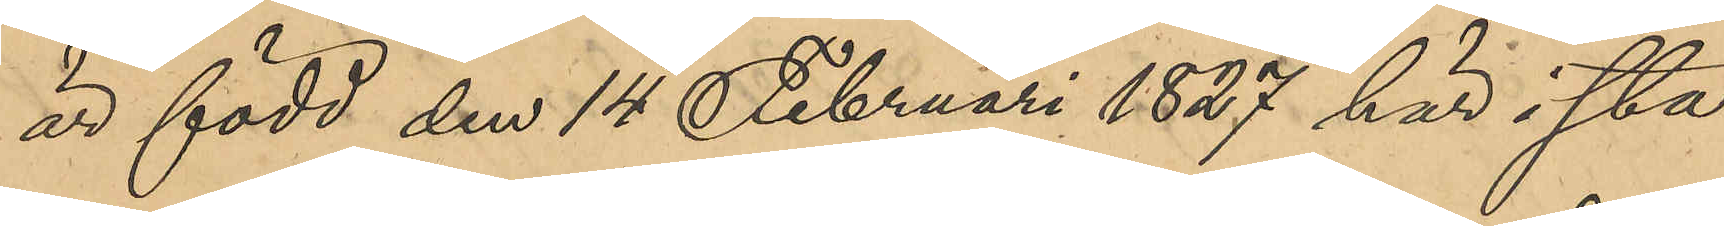är född den 14 Februari 1827 här i sta¬
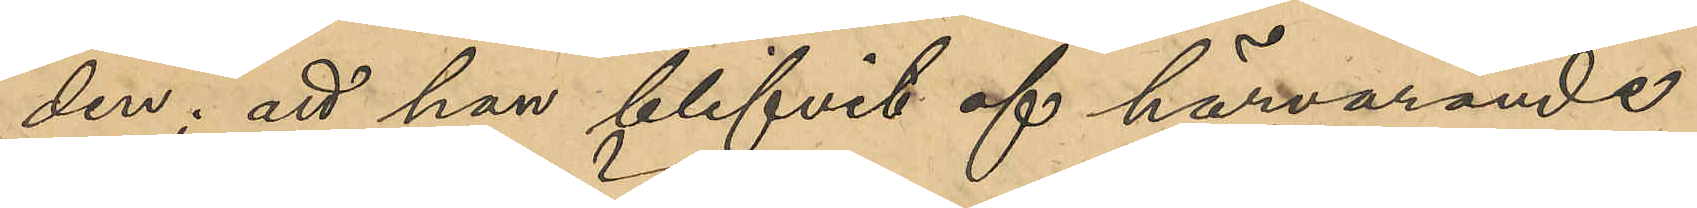den; att han blifvit af härvarande
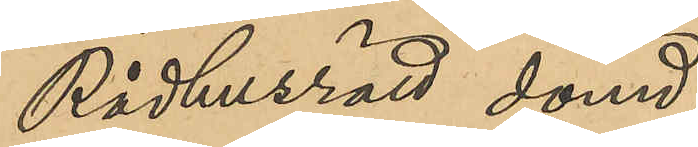Rådhusrätt dömd,
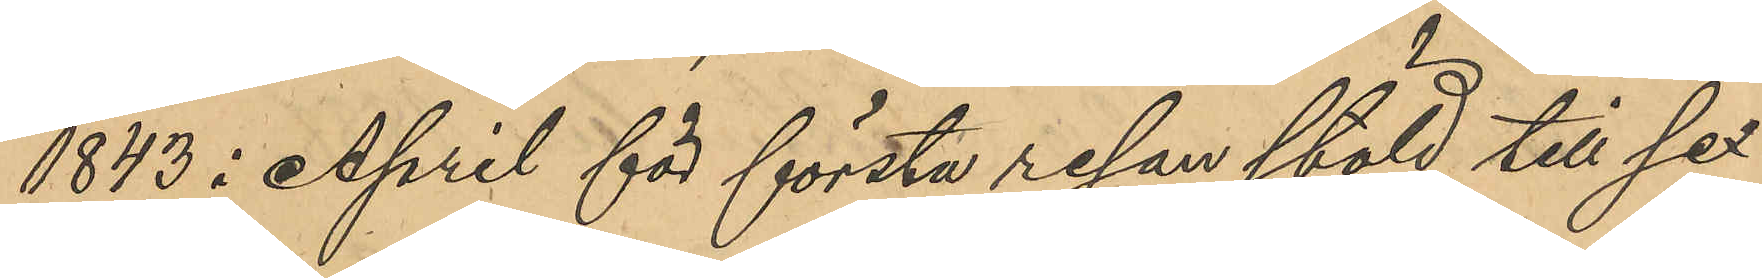1843 i April för första resan stöld till sex
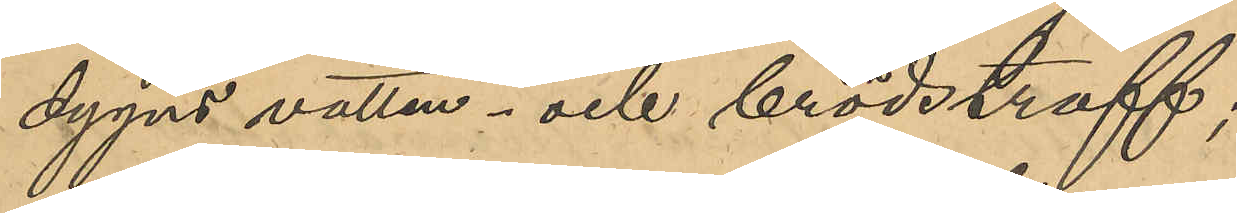dygns vatten- och brödstraff;
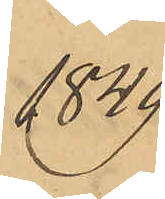1849
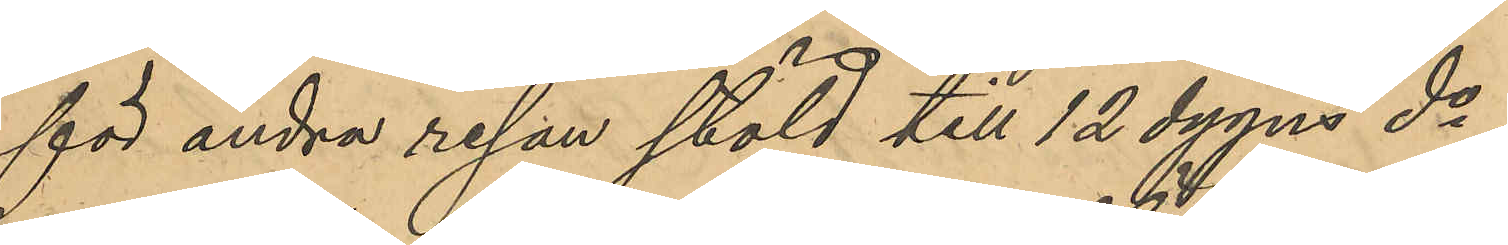för andra resan stöld till 12 dygns do;
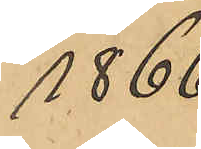1866
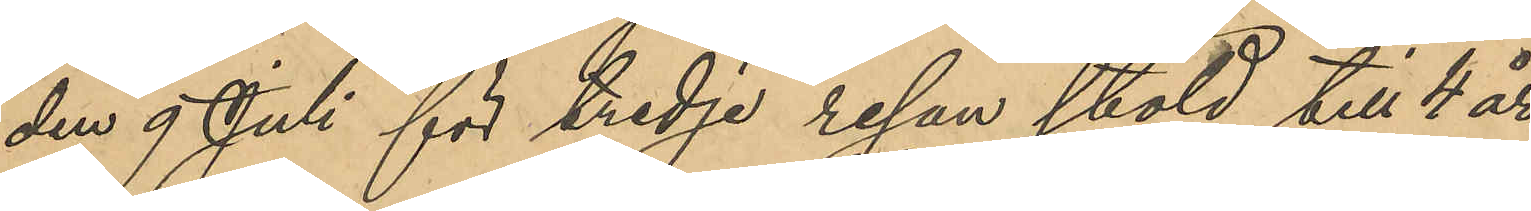den 9 Juli för tredje resan stöld till 4 år
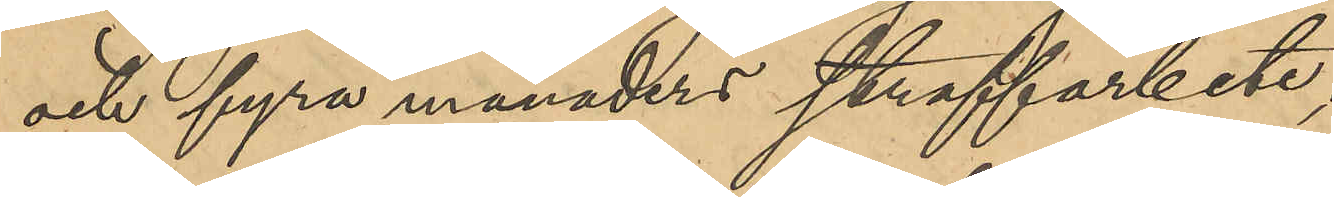och fyra månaders straffarbete;
